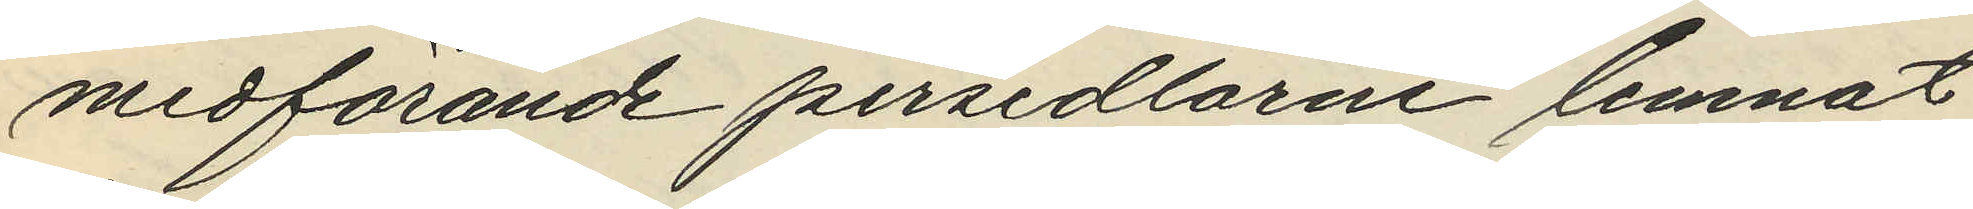medförande persedlarne lemnat
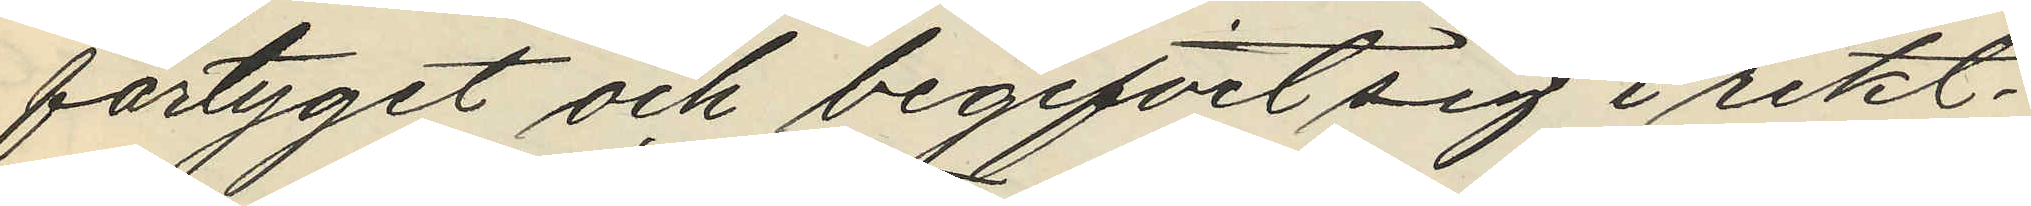fartyget och begifvit sig i rikt¬
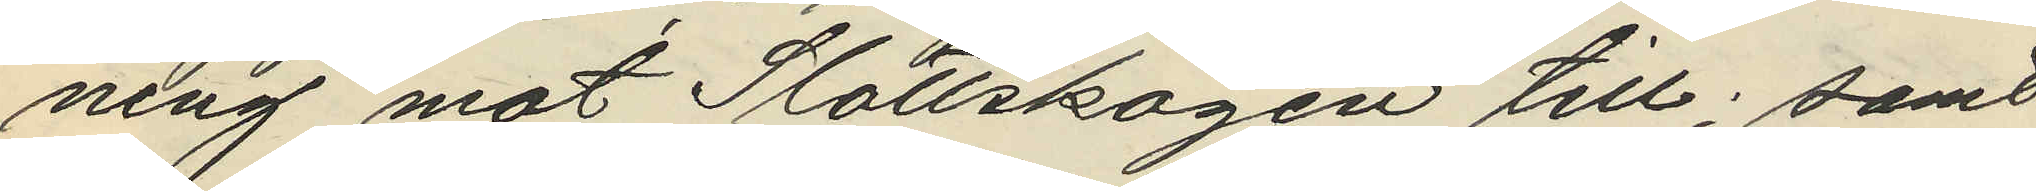ning mot Slottskogen till; samt
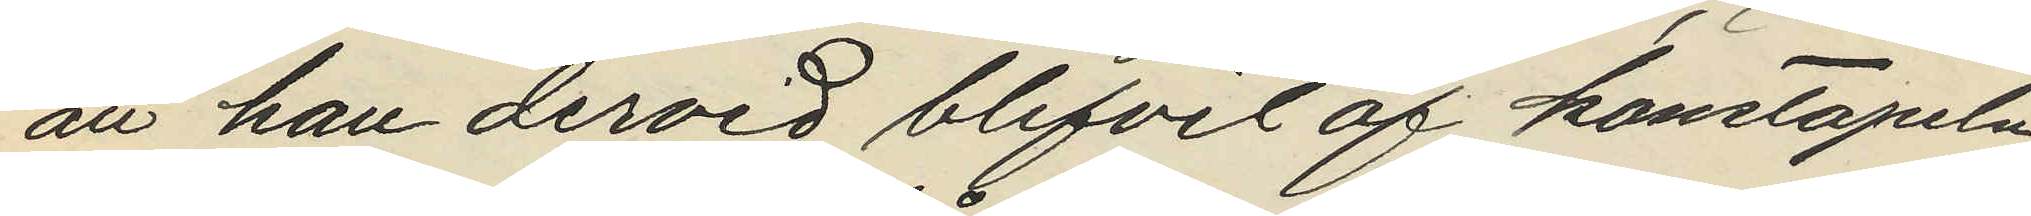att han dervid blifvit af konstapeln
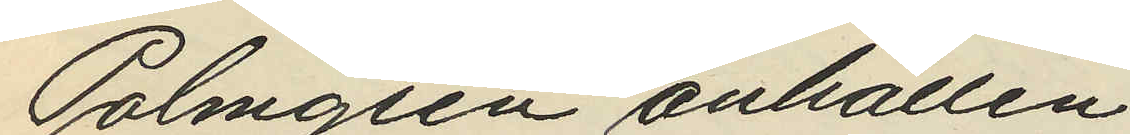Palmgren anhållen.
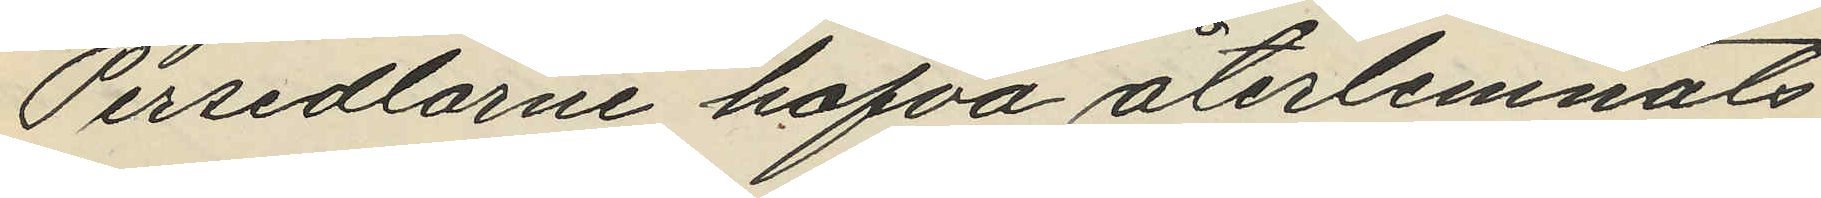Persedlarne hafva återlemnats
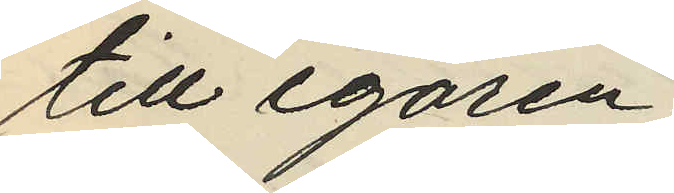till egaren.
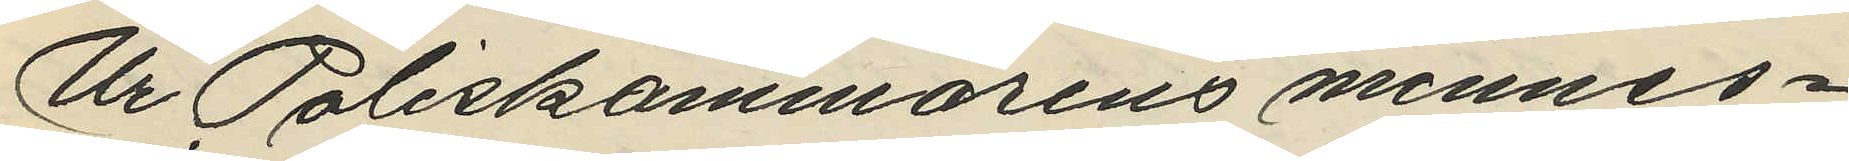Ur Poliskammarens minnes¬
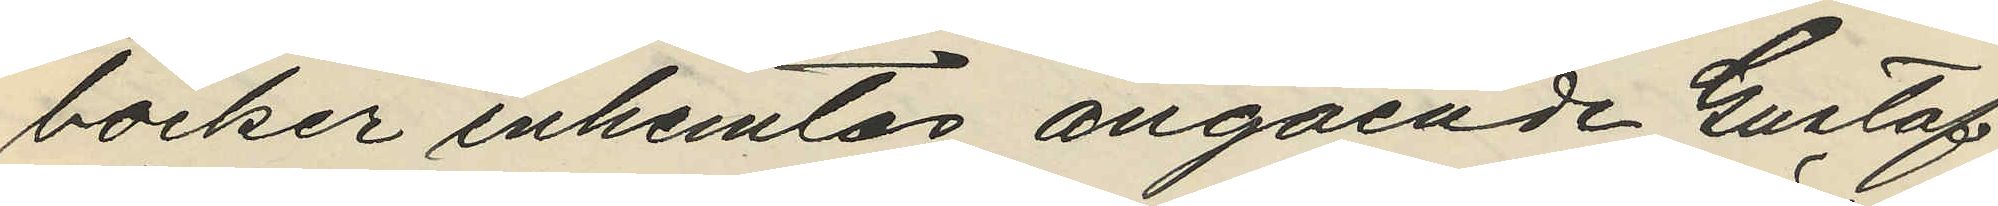böcker inhemtas angående Gustaf
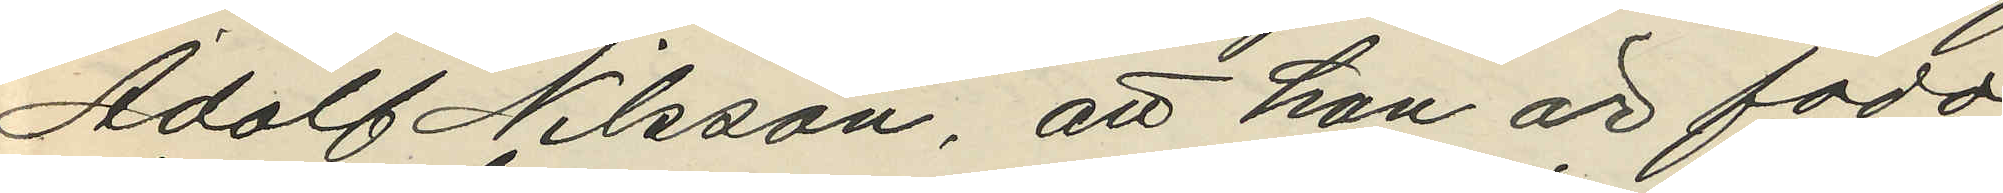Adolf Nilsson, att han är född
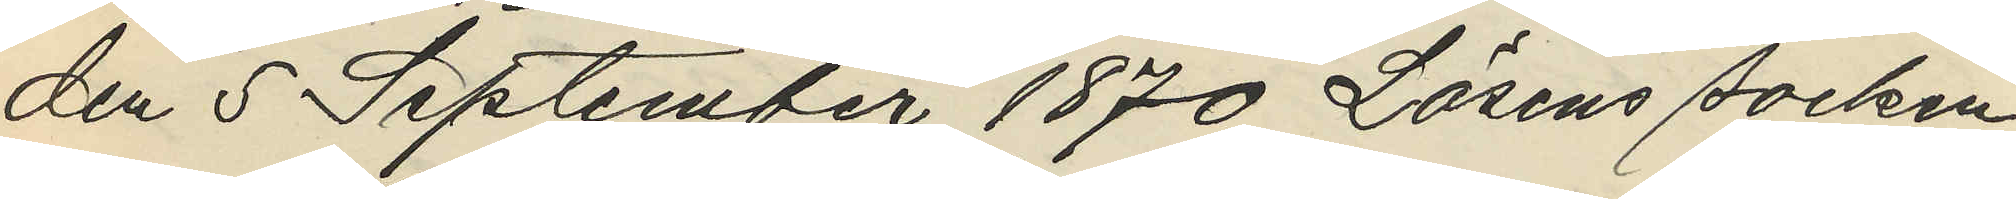den 5 September 1870 Lösens socken
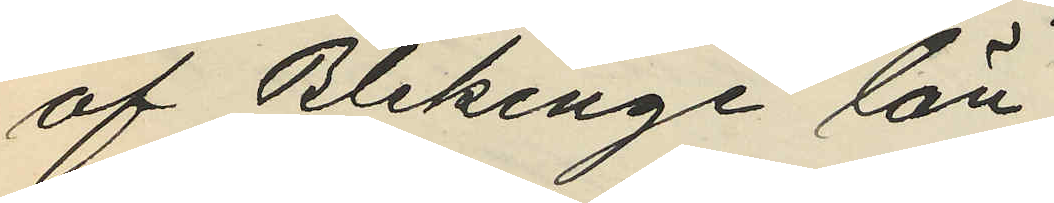af Blekinge län;
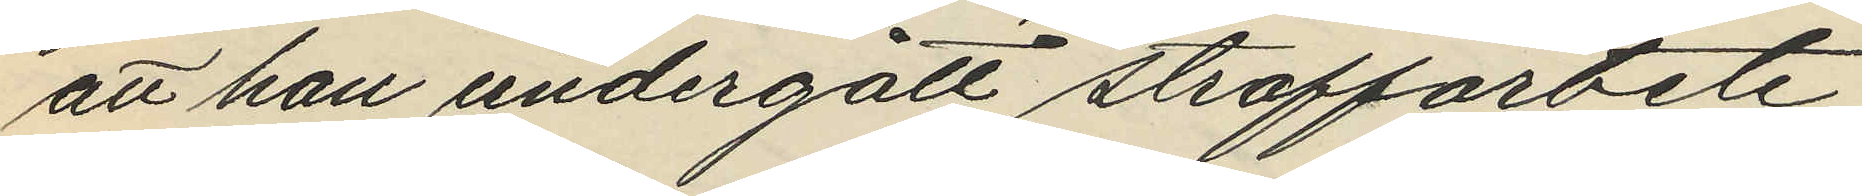att han undergått straffarbete
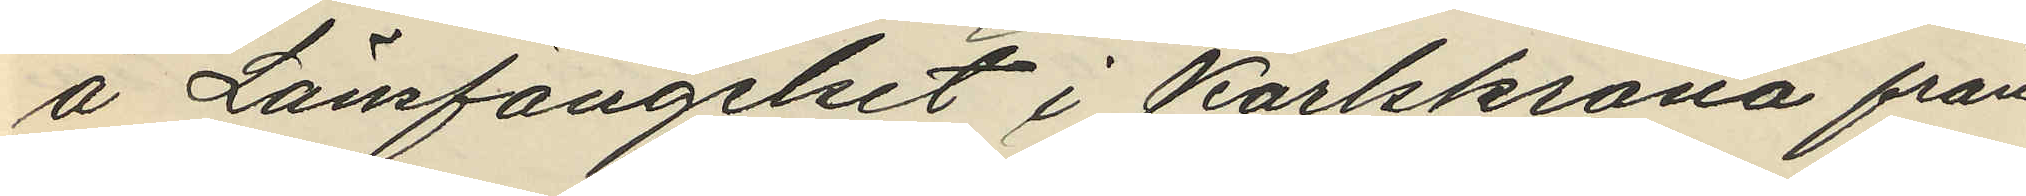å Länsfängelset i Karlskrona från
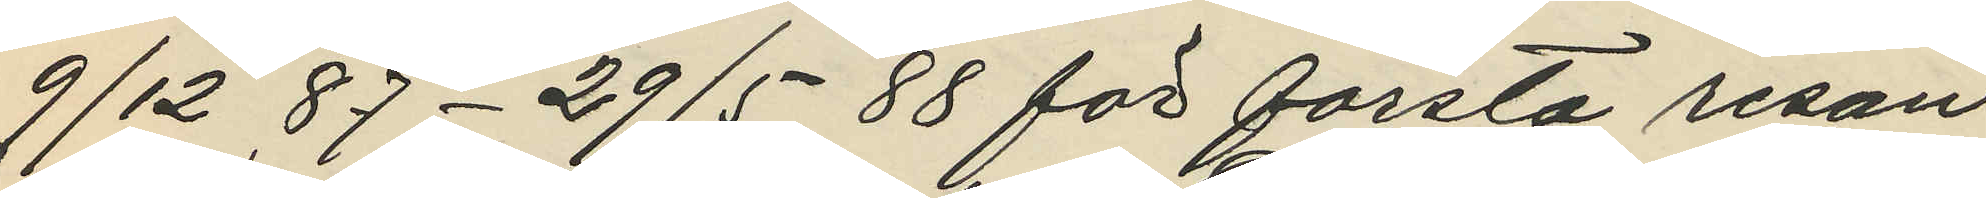9/12 87 - 29/5 88 för första resan
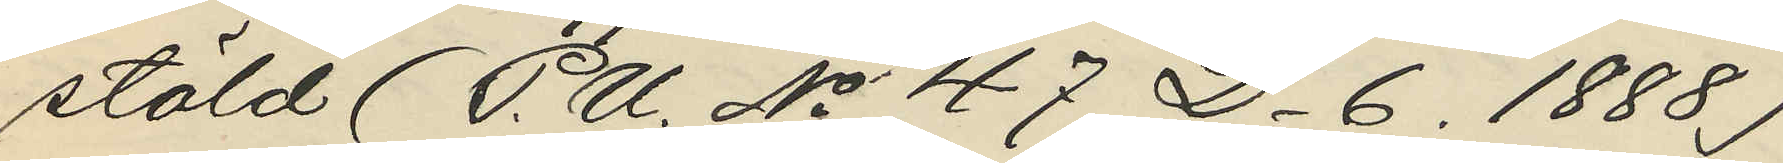stöld (P.U. No 47 D_ 6. 1888)
